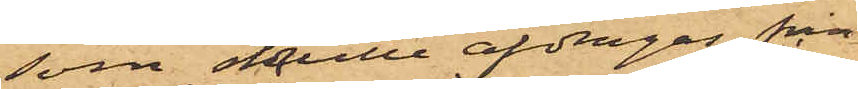som skulle afdragas från
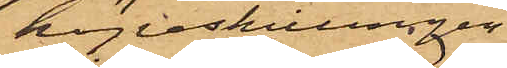köpeskillingen,
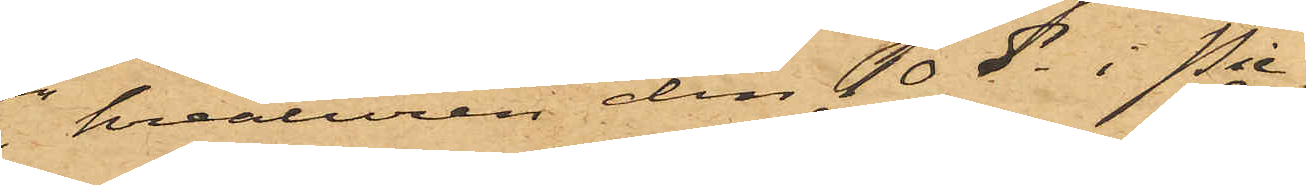kreaturen den 10 ds i Pie¬
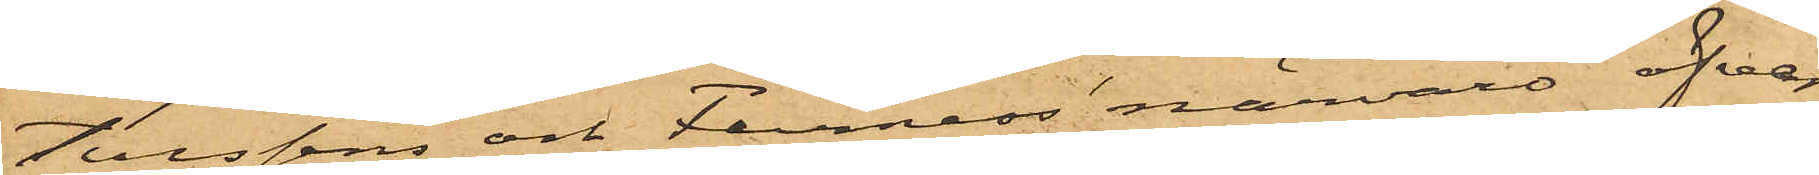tersens och Furness' närvaro öfver¬
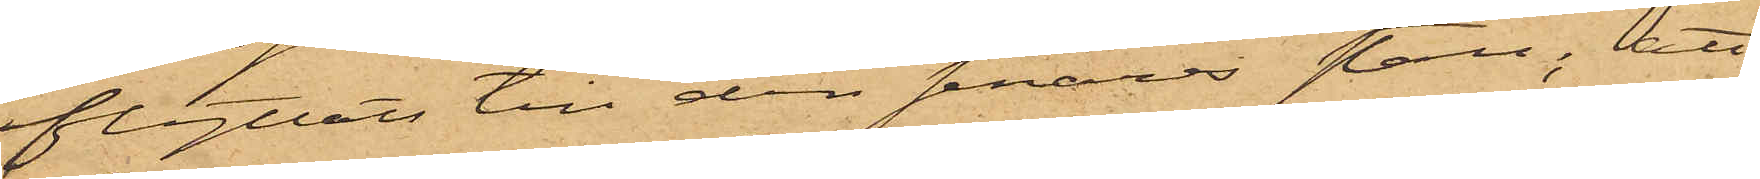flyttats till den senares stall; att
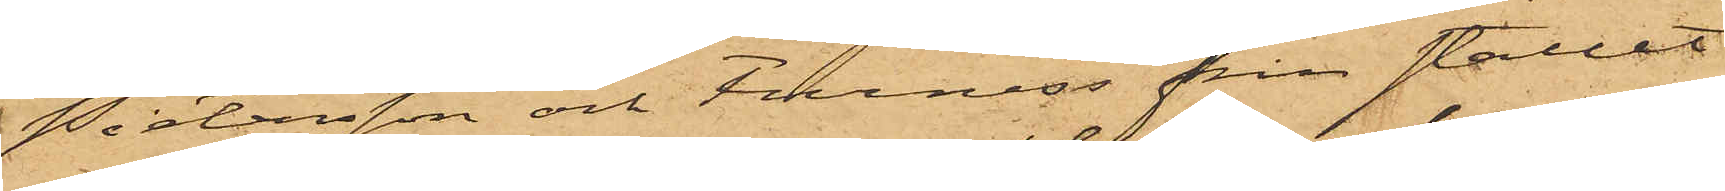Pietersen och Furness från stallet
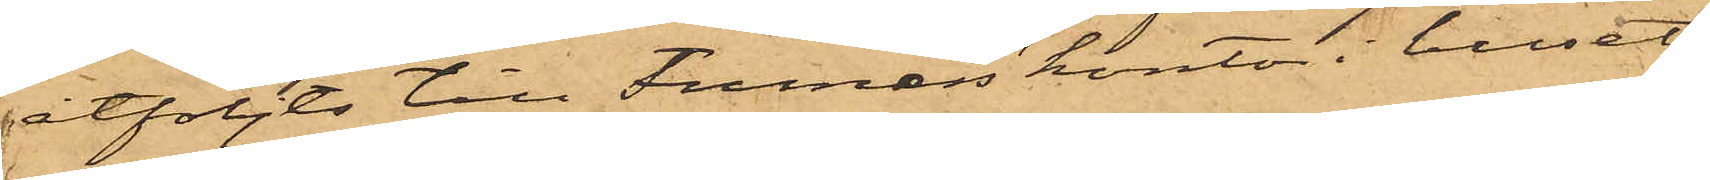åtföljts till Furness kontor i huset
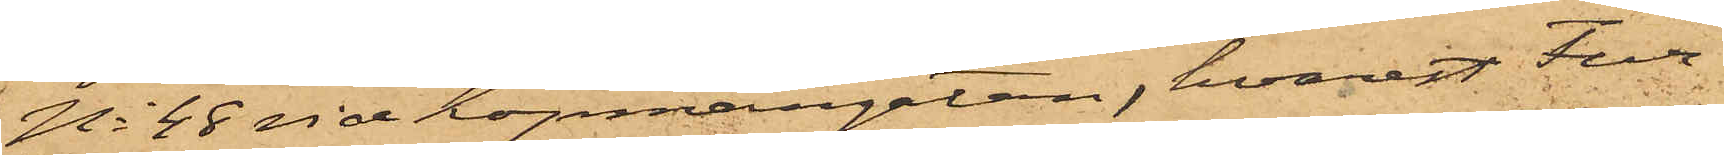No 48 vid Köpmangatan, hvarest Fur¬
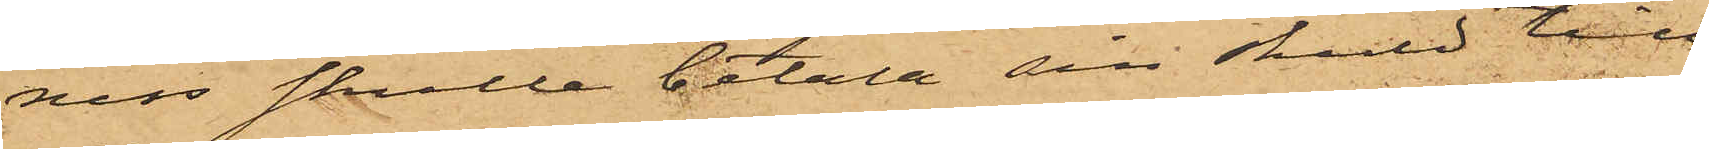ness skulle betala sin skuld till
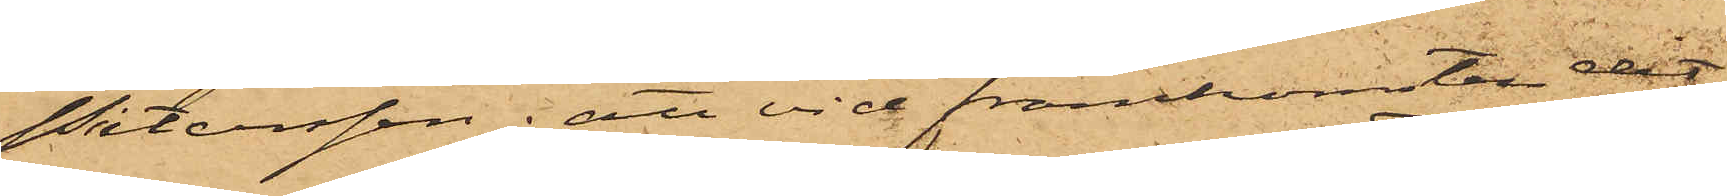Pietersen; att vid framkomsten dit
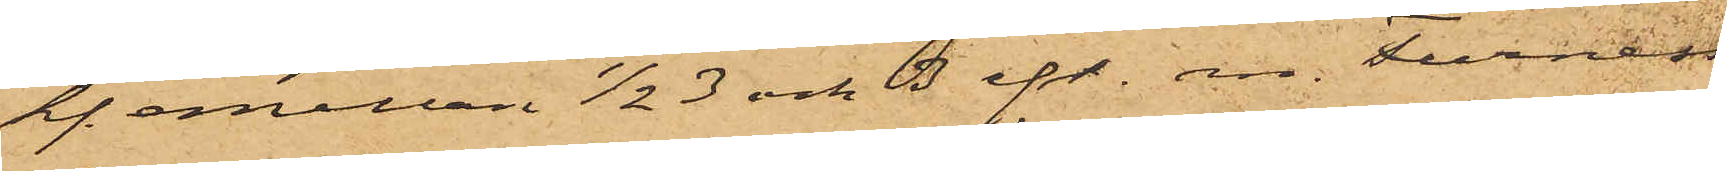kl. emellan ½ 3 och 3 eft.m. Furness
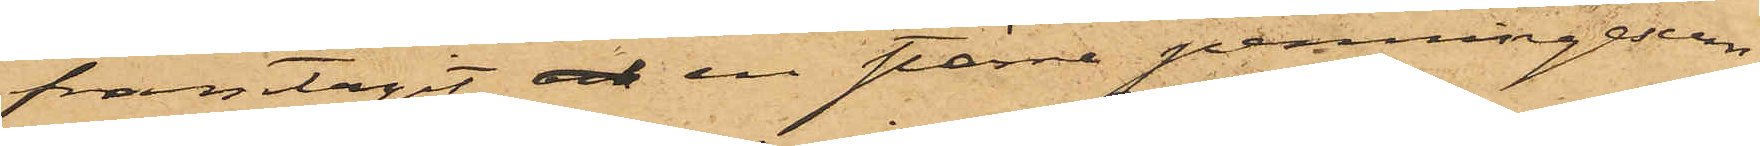framtagit och en större penningesum¬
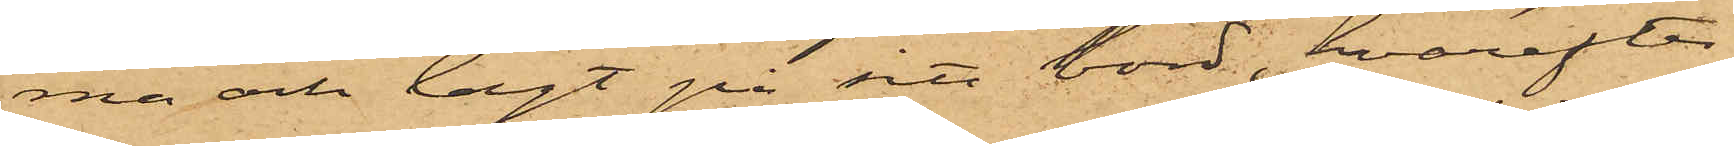ma och lagt på sitt bord, hvarefter
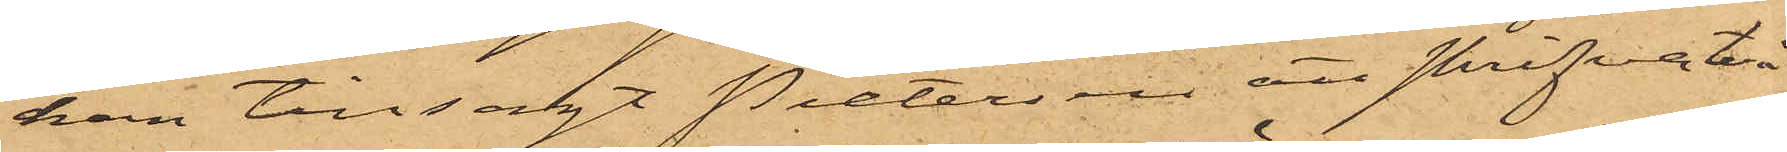han tillsagt Pietersen att skrifva två
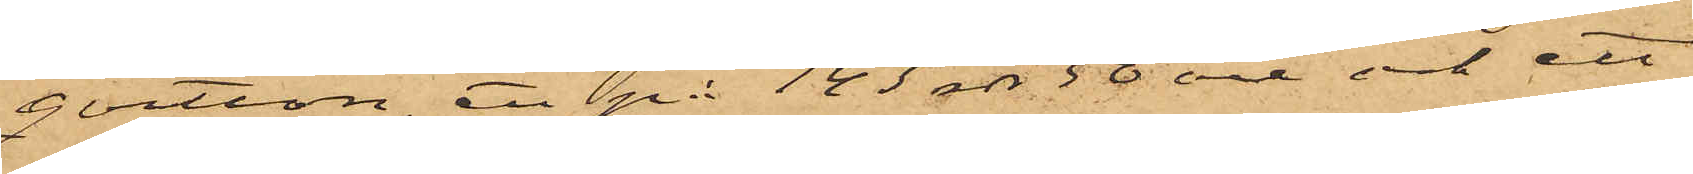qvitton, ett på 143 rdr 50 öre och ett
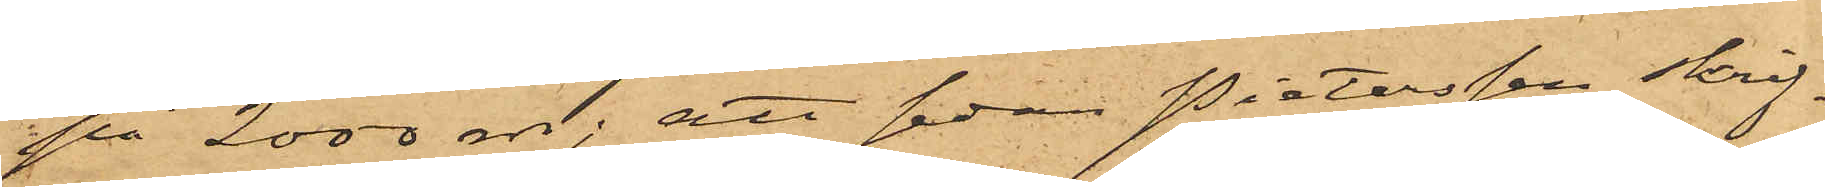på 2000 rdr; att sedan Pietersen skrif¬
